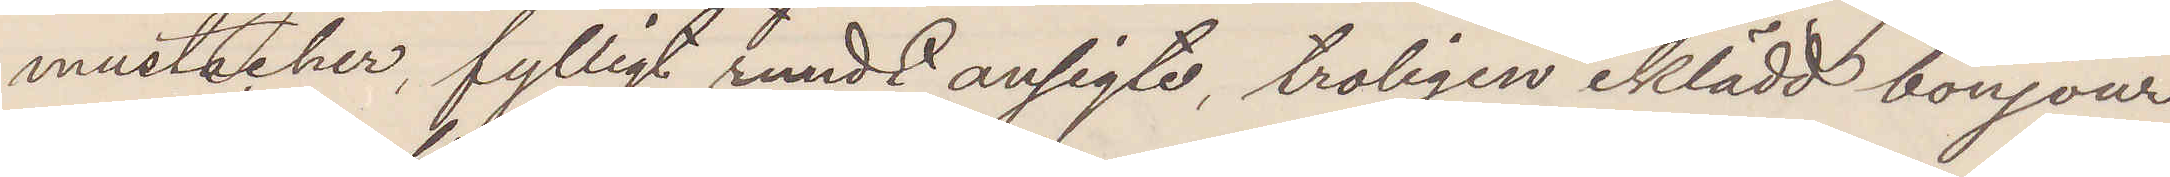mustacher, fylligt rundt ansigte, troligen iklädd bonjour,
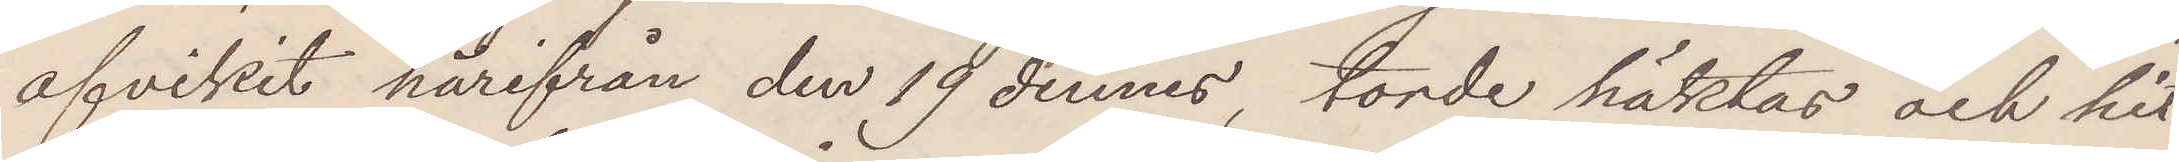afvikit härifrån den 19 dennes, torde häktas och hit¬
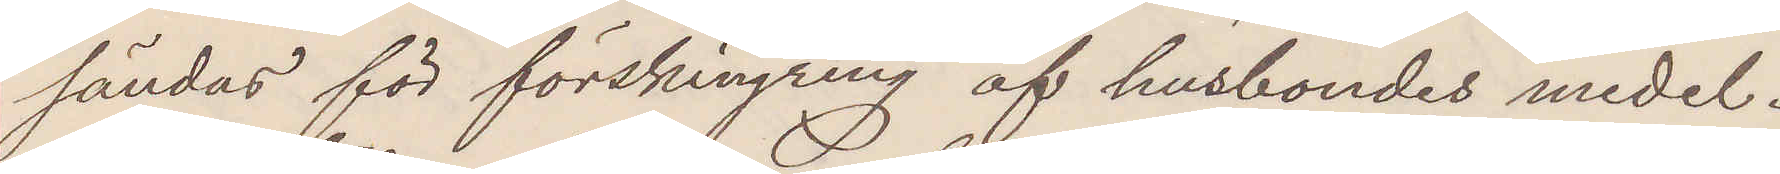sändas för förskingring af husbondes medel.
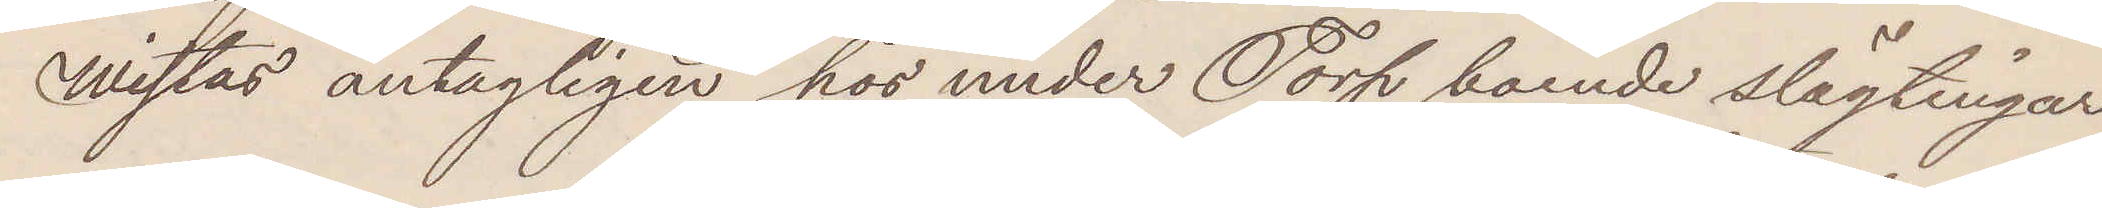Wistas antagligen hos under Torp boende slägtingar.
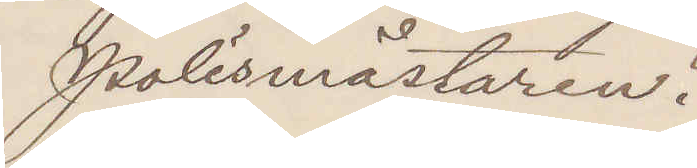Polismästaren.
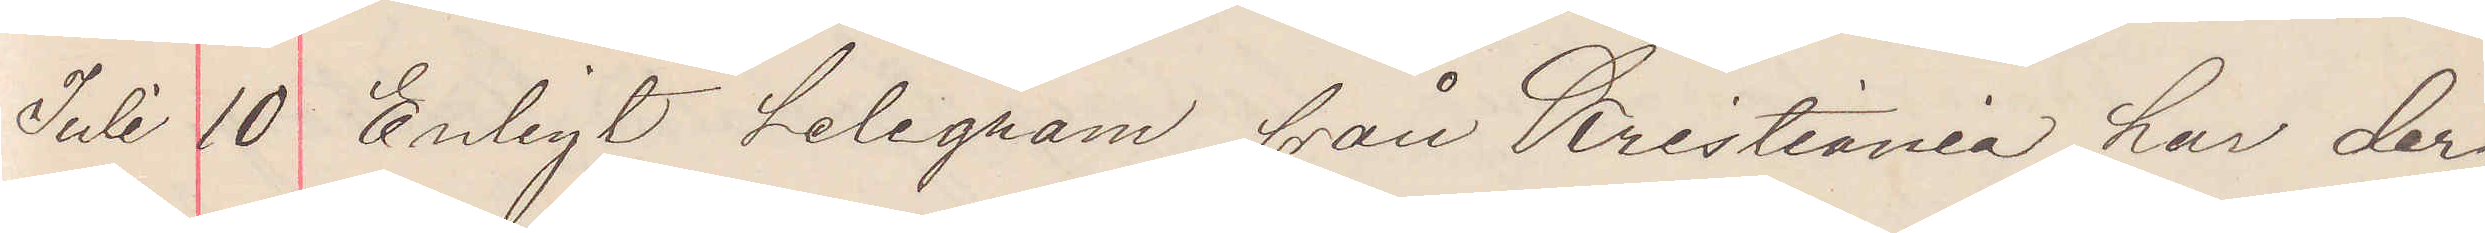Juli 10 Enligt telegram från Kristiania har der¬
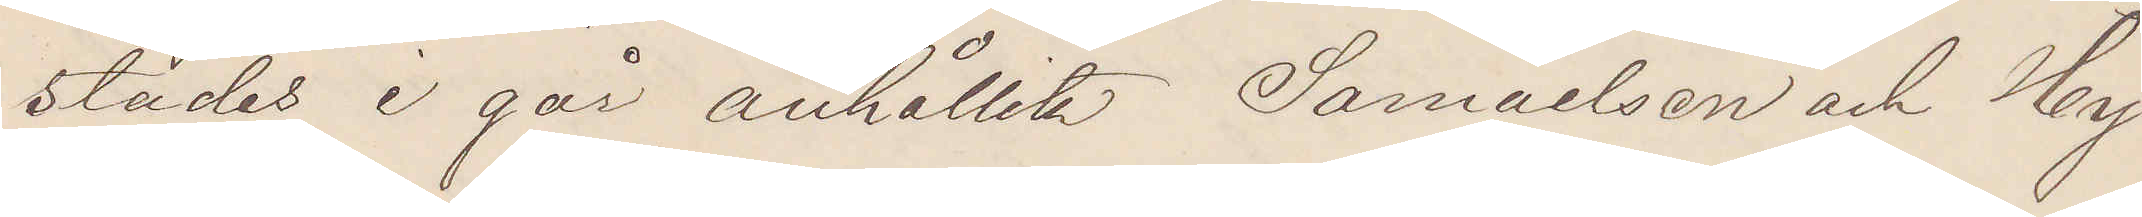städes i går anhållits Samuelsson och Hy¬
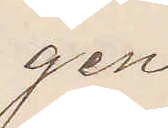gen.
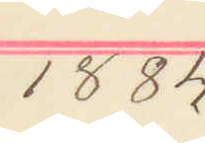1884
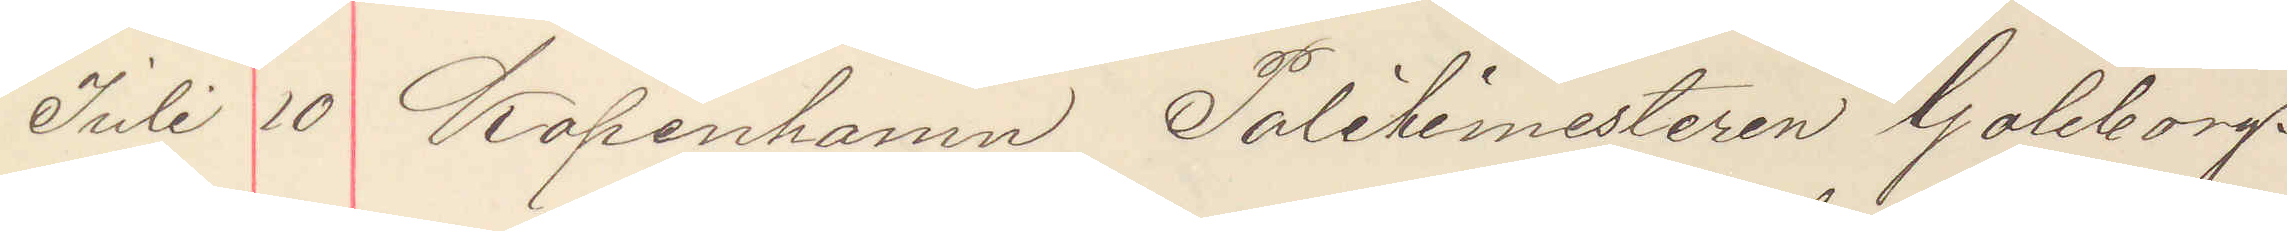Juli 10 Köpenhamn Politimesteren Göteborg.
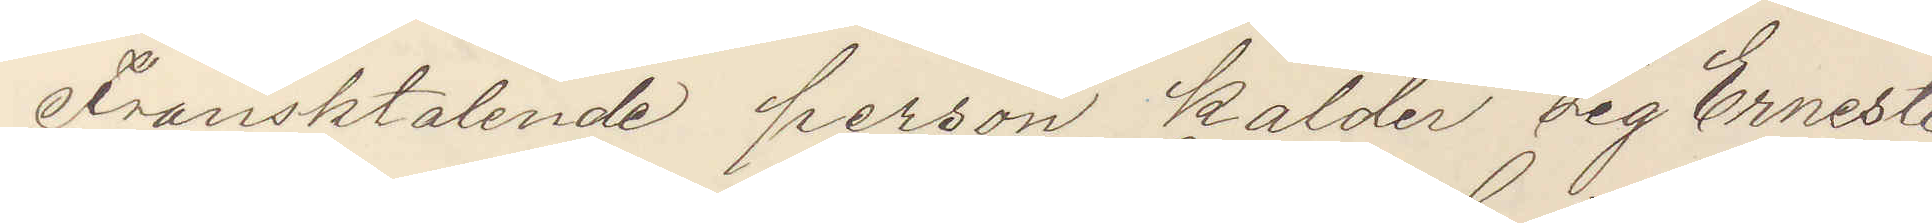Fransktalande person kalder sig Erneste
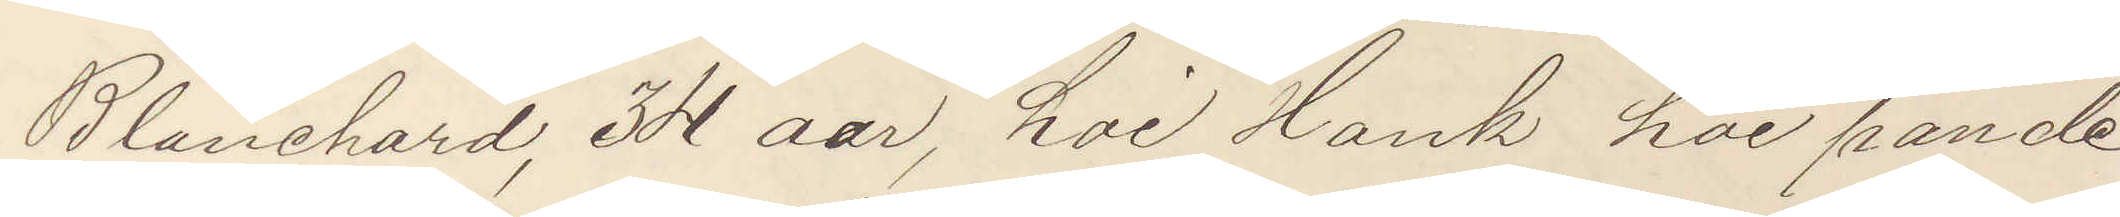Blanchard, 34 aar, hoi slank hoi pande
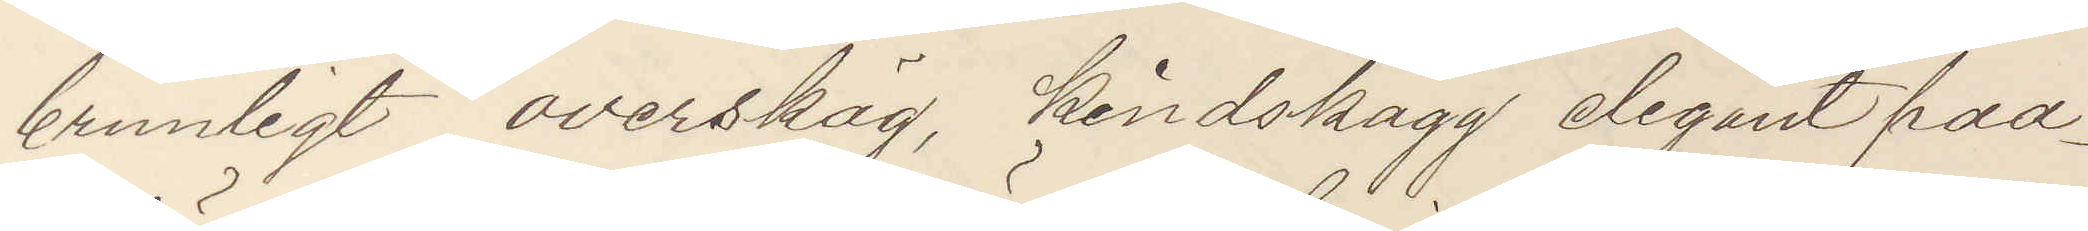brunlegt overskäg, kindskägg elegant paa¬
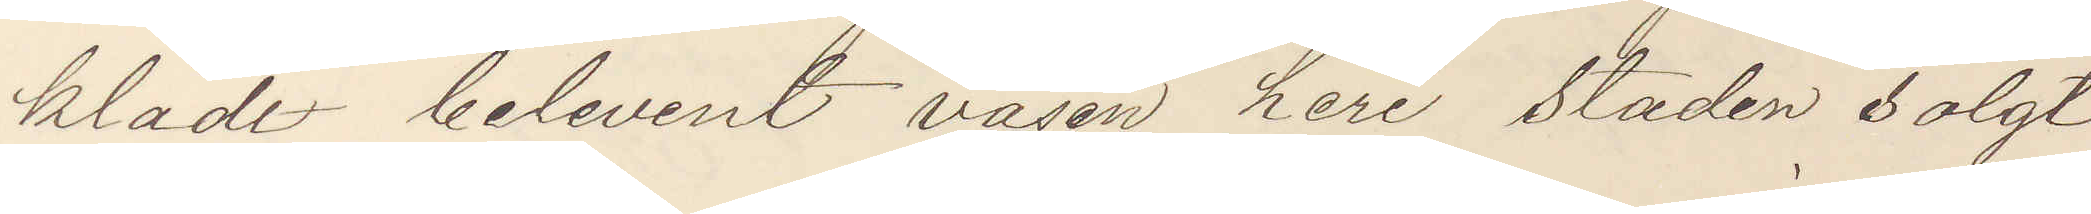klädt belevent väsen heri staden solgt
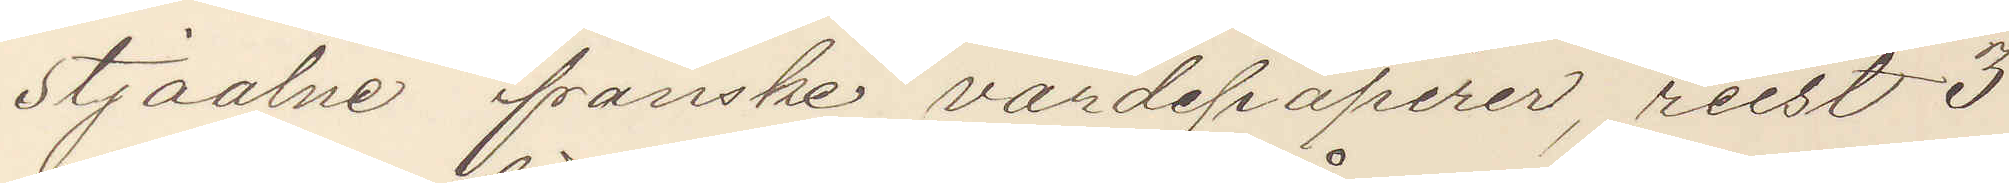stjaalne franske värdepapirer, reist 3
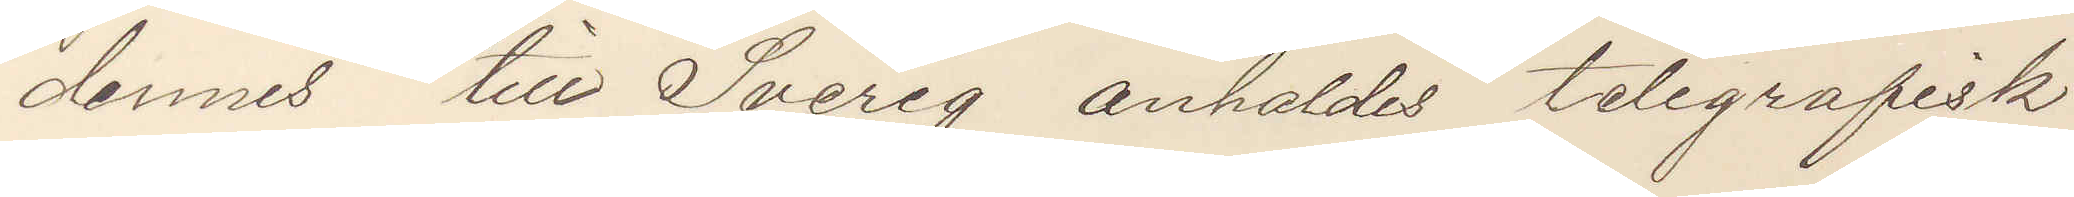dennes till Sverig anhålds telegrafisk
